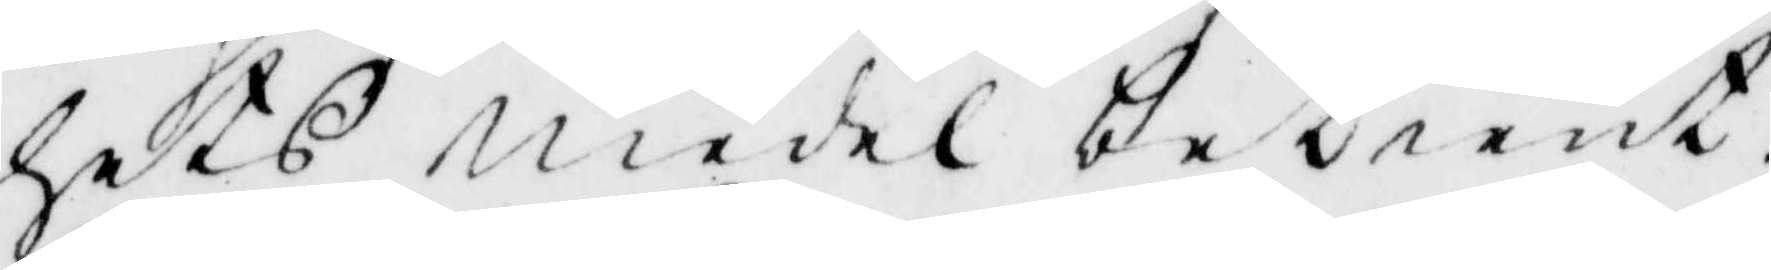hets medel betient.
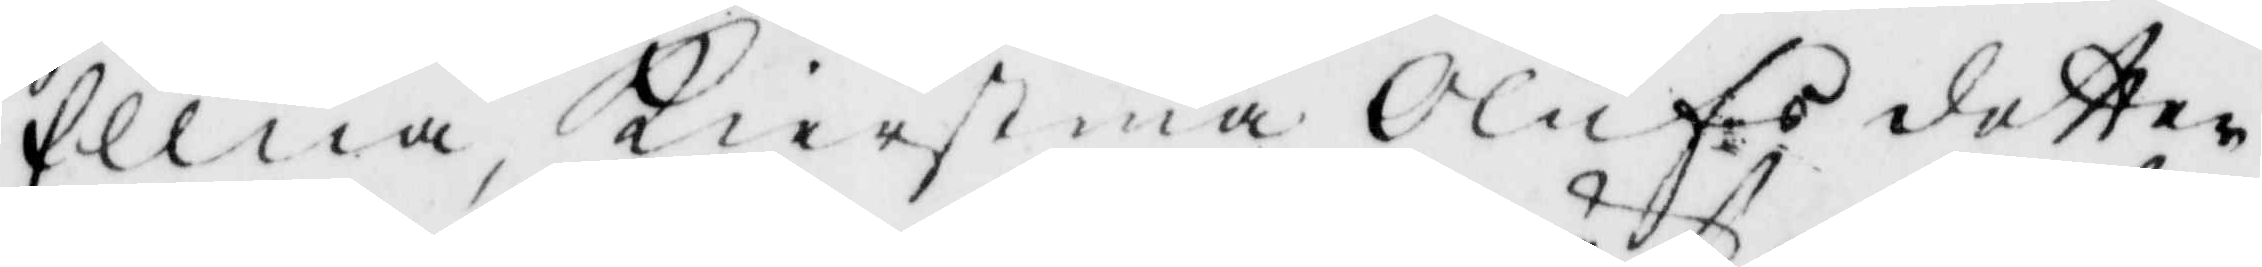Ellna, Kierstina Olufs dotter
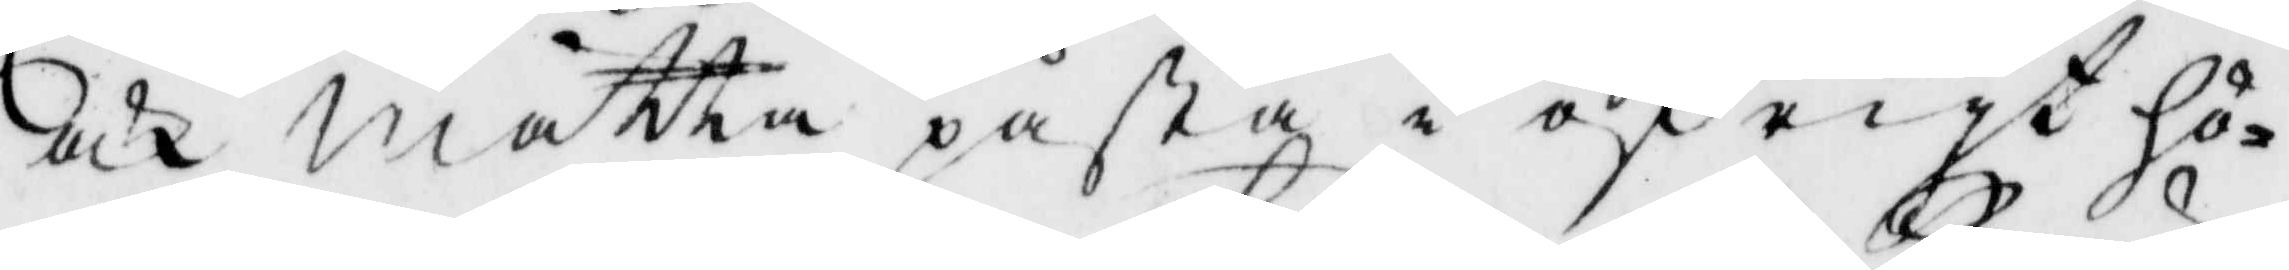och Mtta påstå i öfrigt hö¬
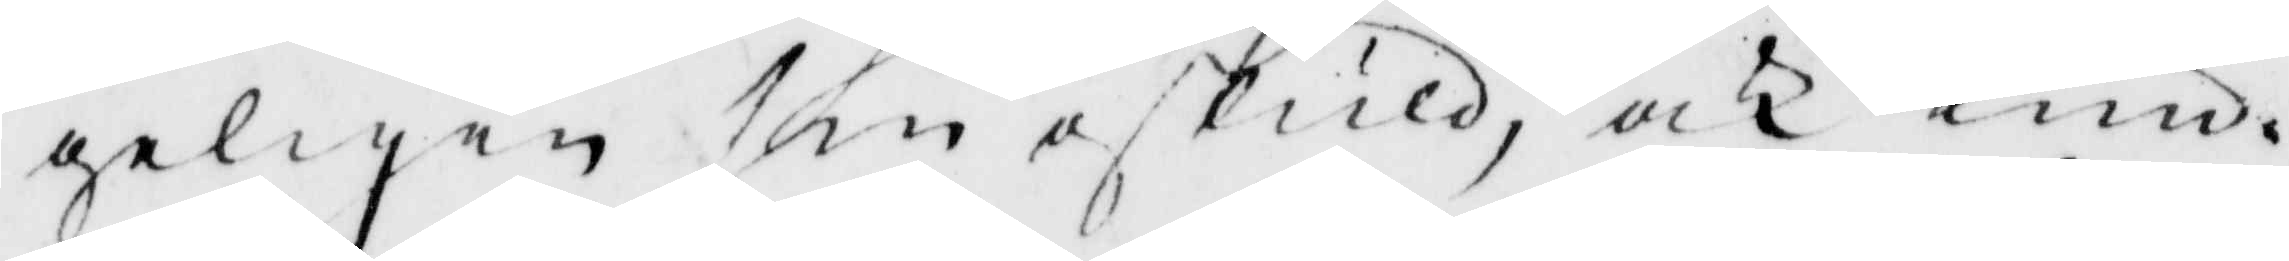geligen sin oskuld, och kun¬
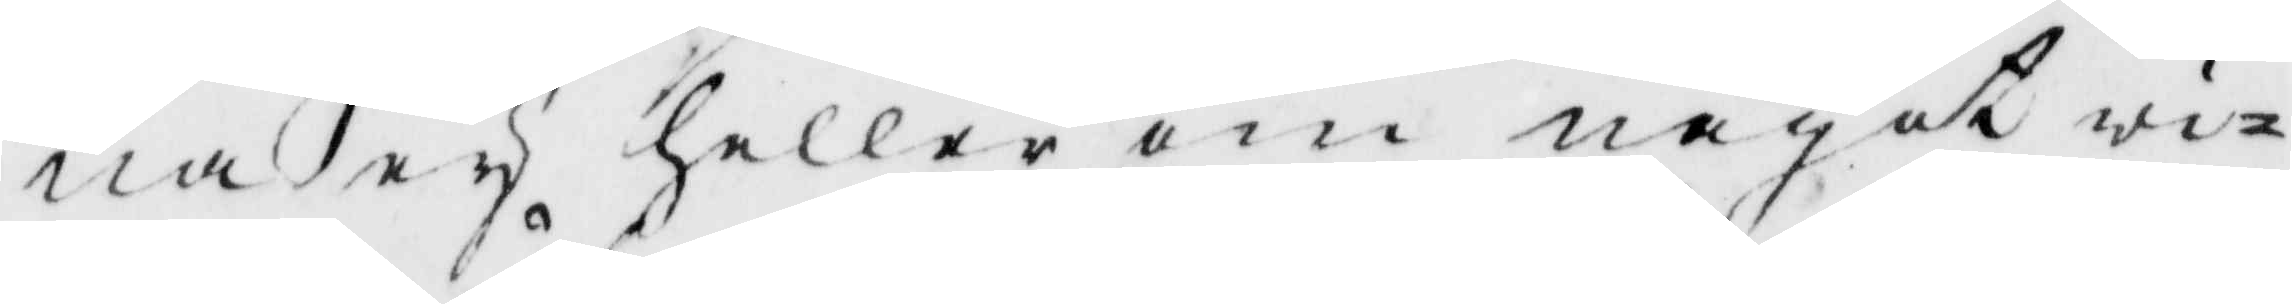na ey heller om något wi¬
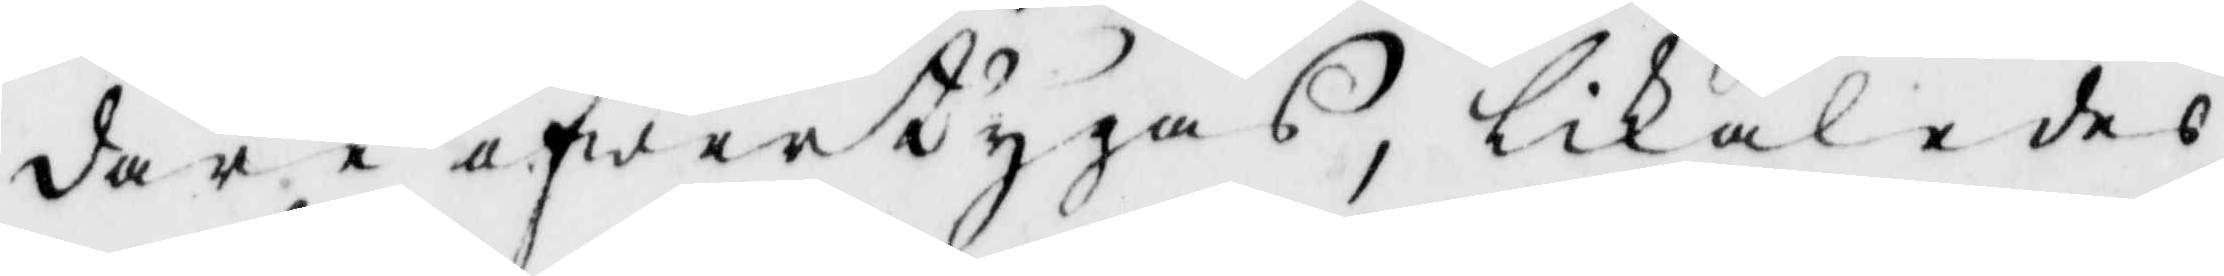dare öfwertygas, likaledes
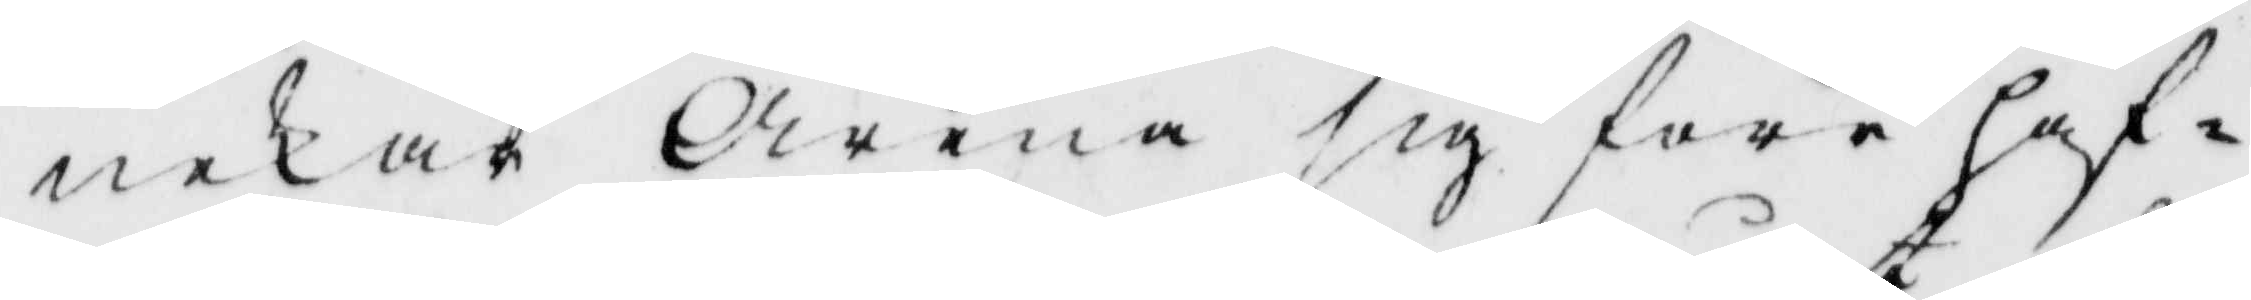nekar Arena sig förr haf¬
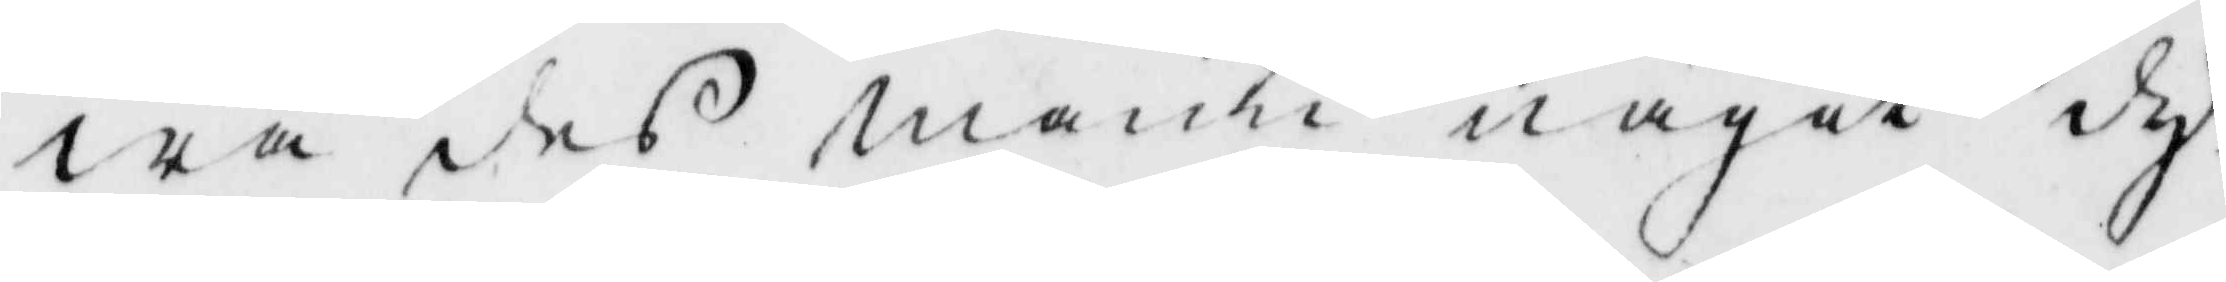wa des mann något dy¬
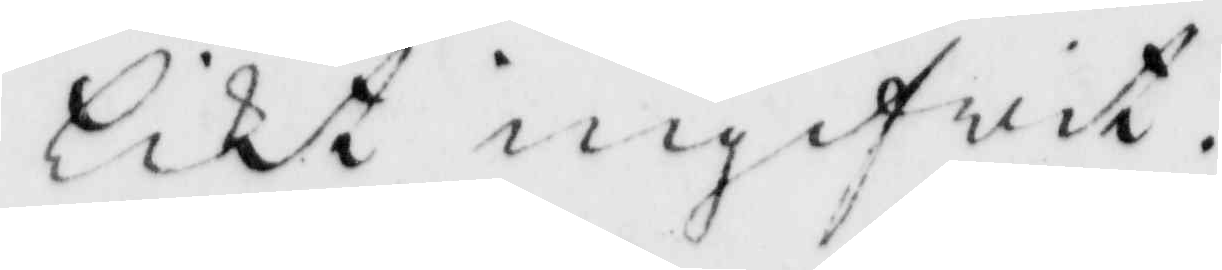likt ingifwit.
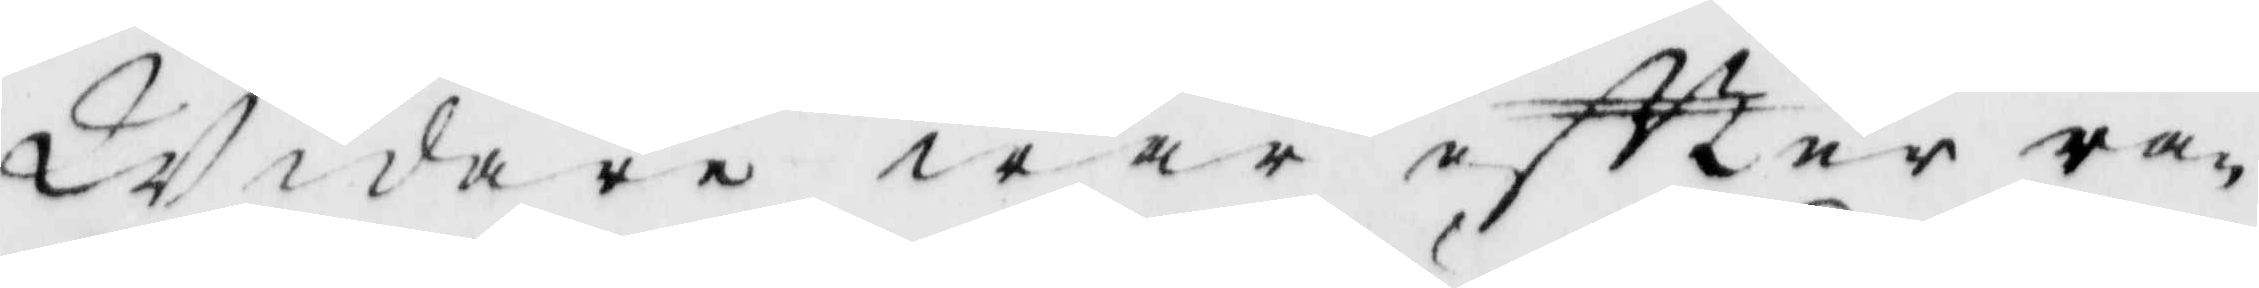Widare war eftter ra¬
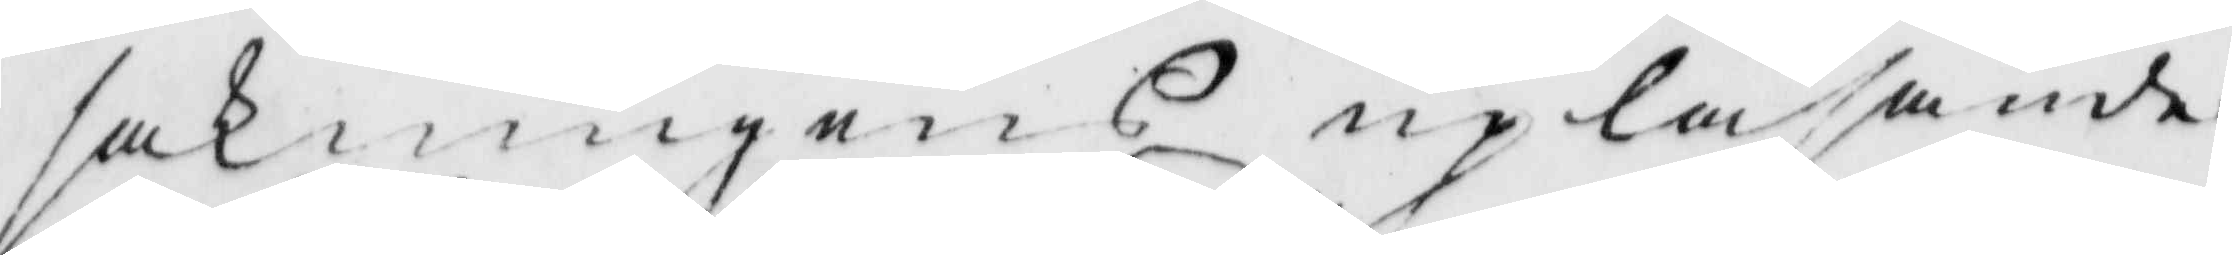sakningens upläsande
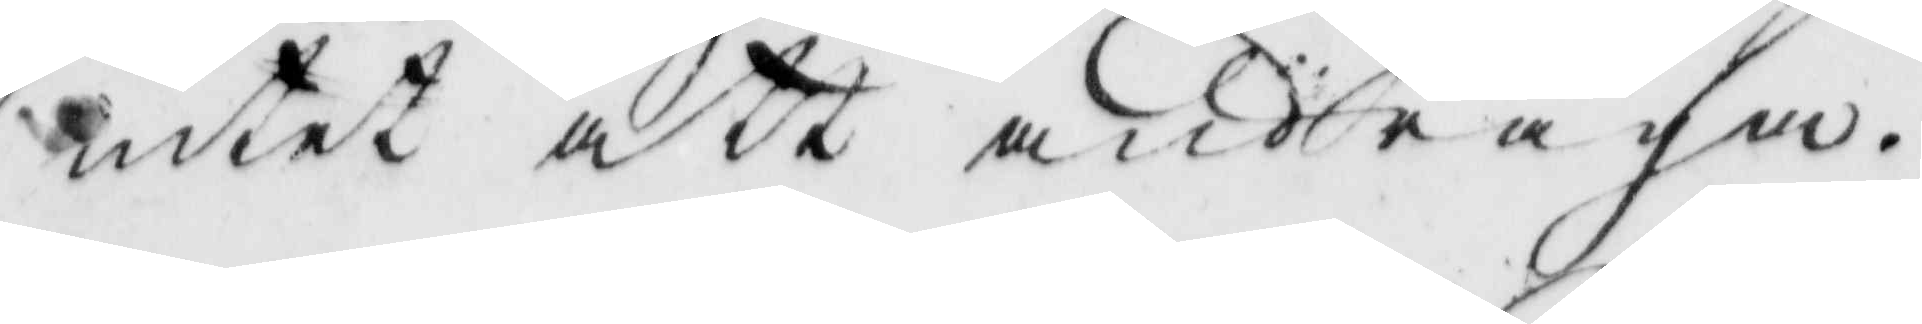intet att andraga.
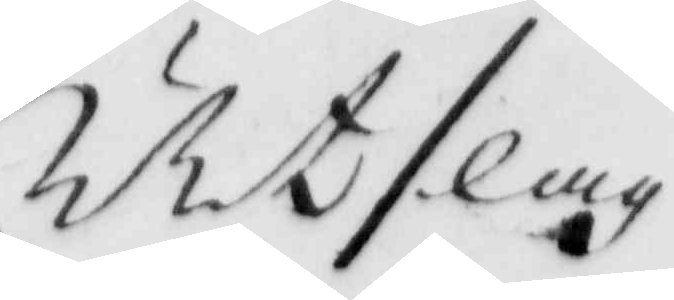Utslag
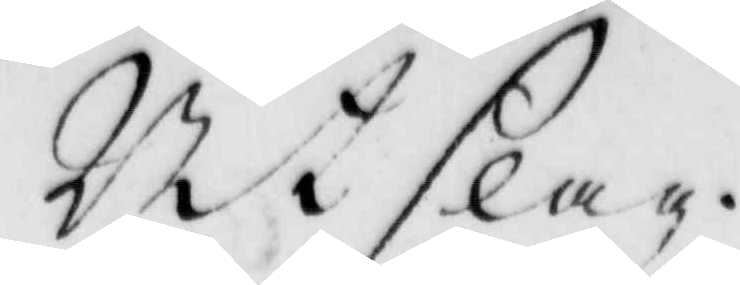Utslag.
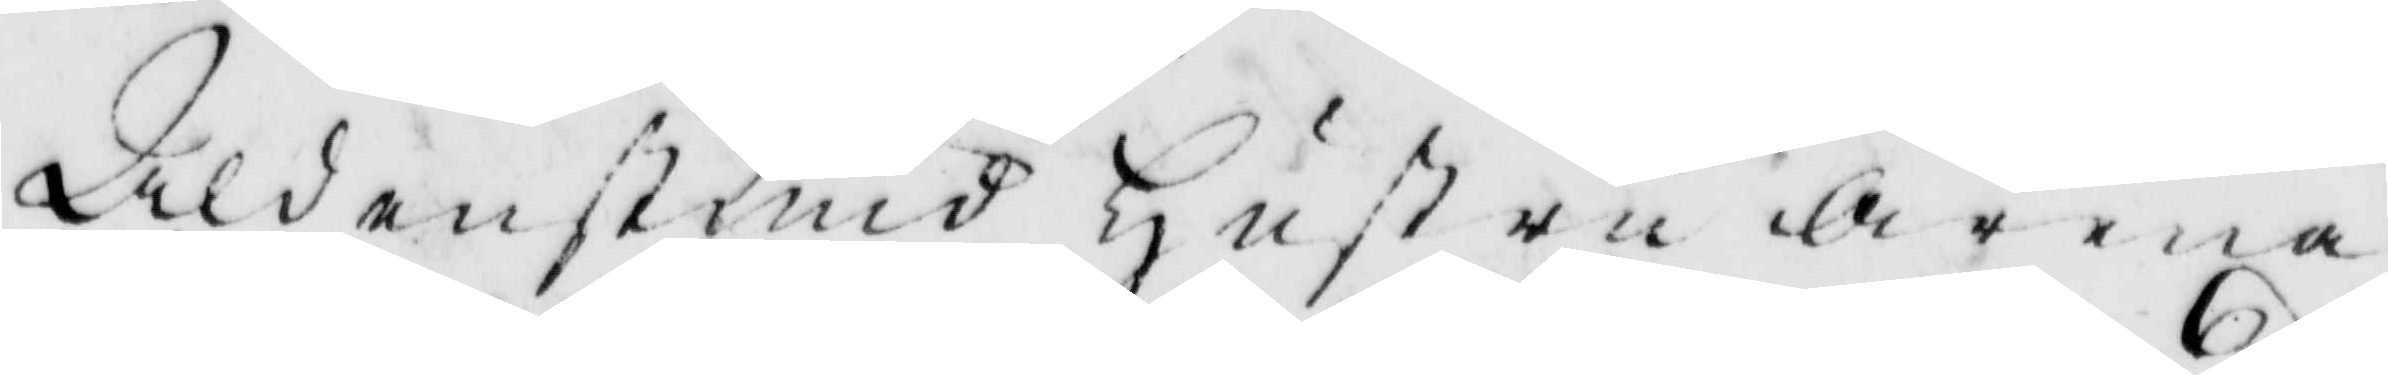Aldenstud Hustru Arena
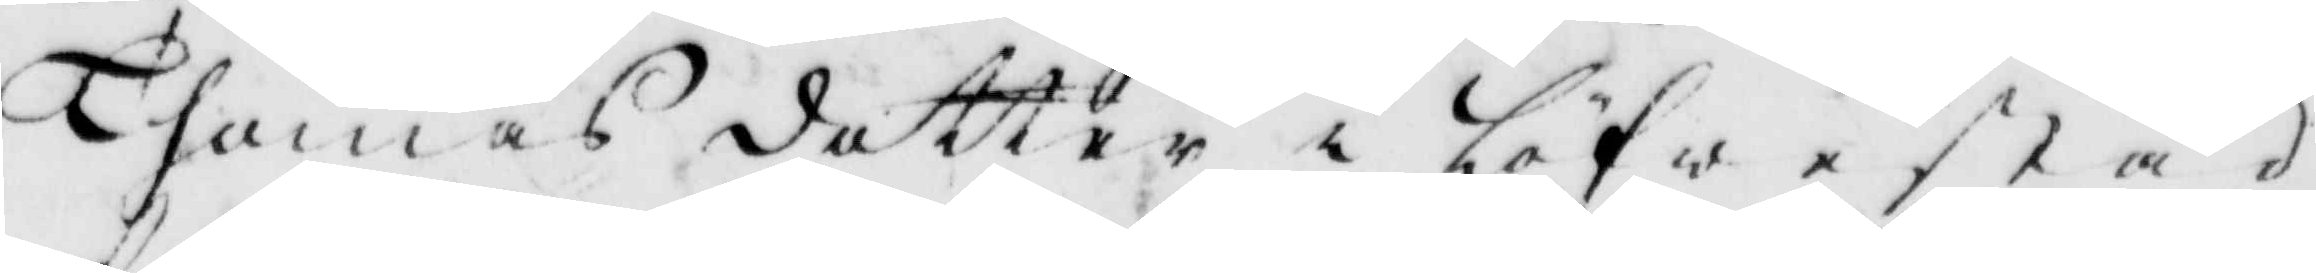Thomas dotter i Löfwestad
